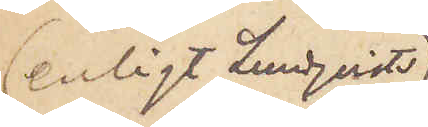enligt Lundqvists
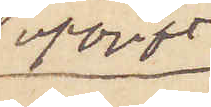uppgift
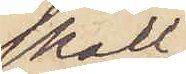skall
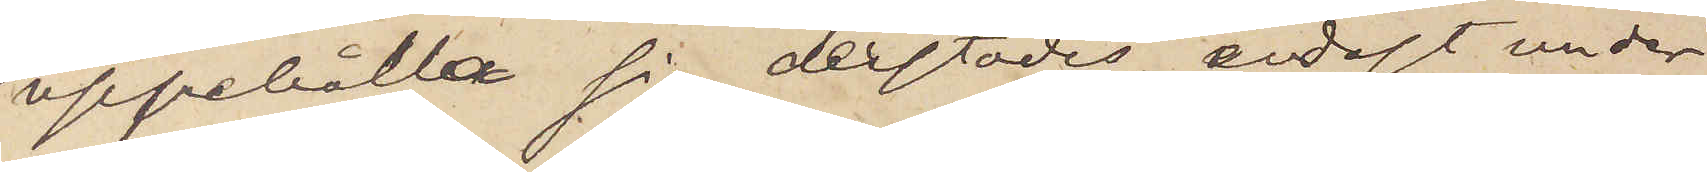uppehålla sig derstädes endast under
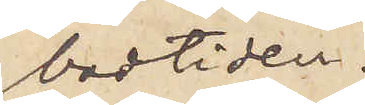badtiden.
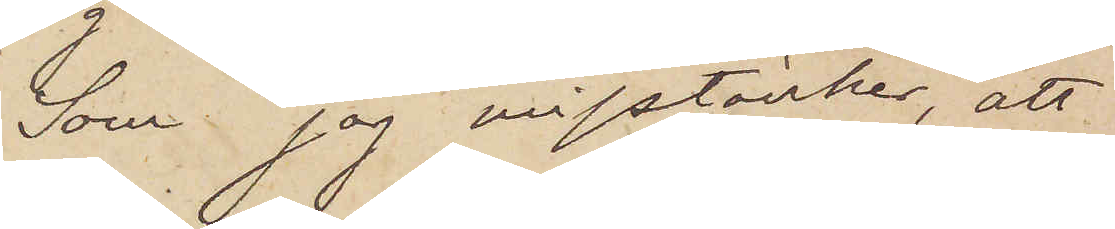Som jag misstänker, att
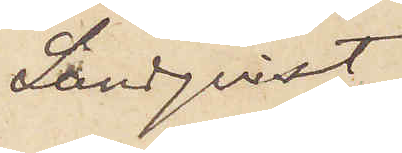Lundqvist
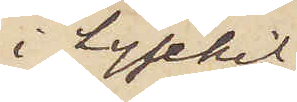i Lysekil
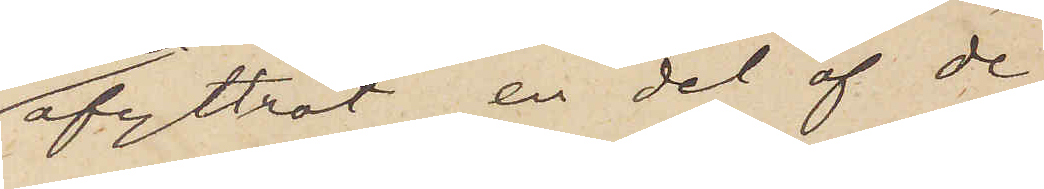afyttrat en del af de
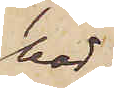här
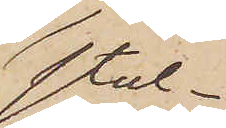stul¬
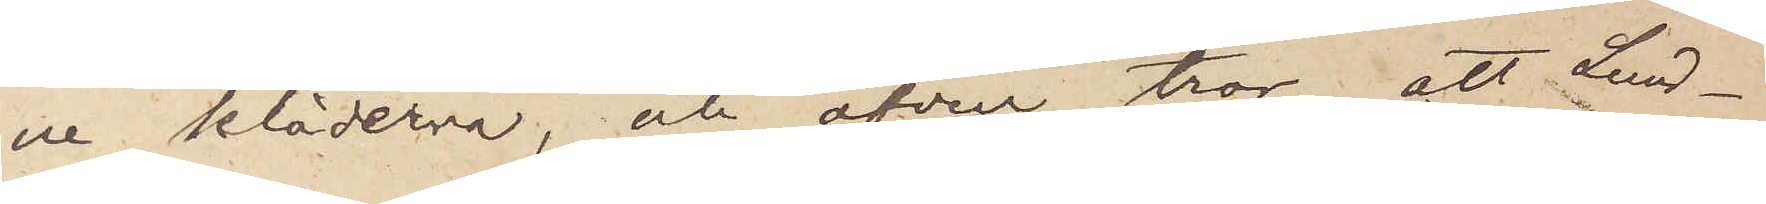ne kläderna, och äfven tror, att Lund¬
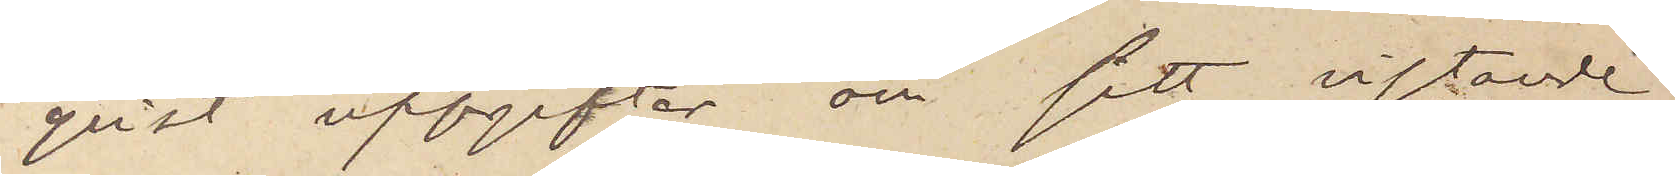qvist uppgifter om sitt vistande
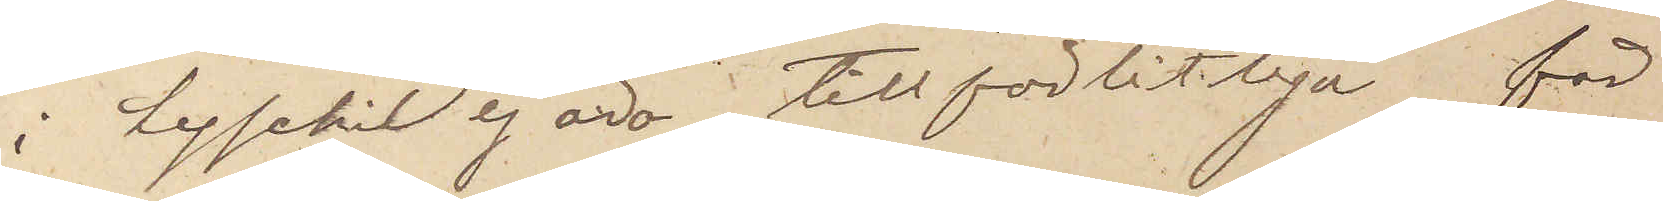i Lysekil ej äro tillförlitliga, får
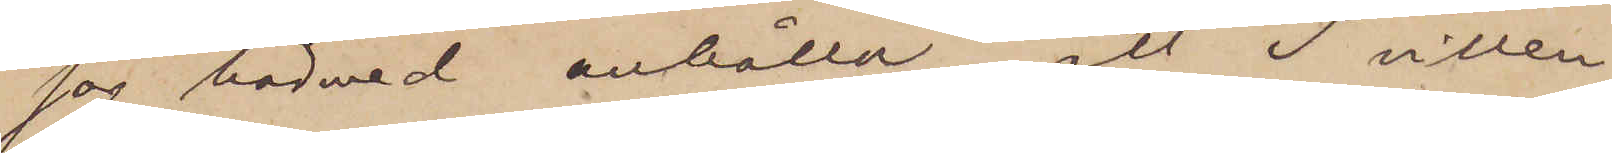jag härmed anhålla, att I villen
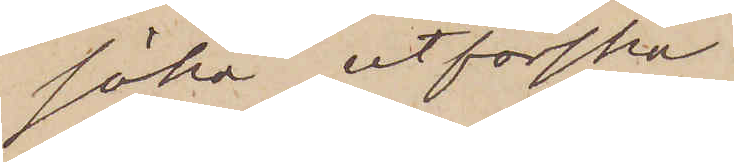söka utforska
